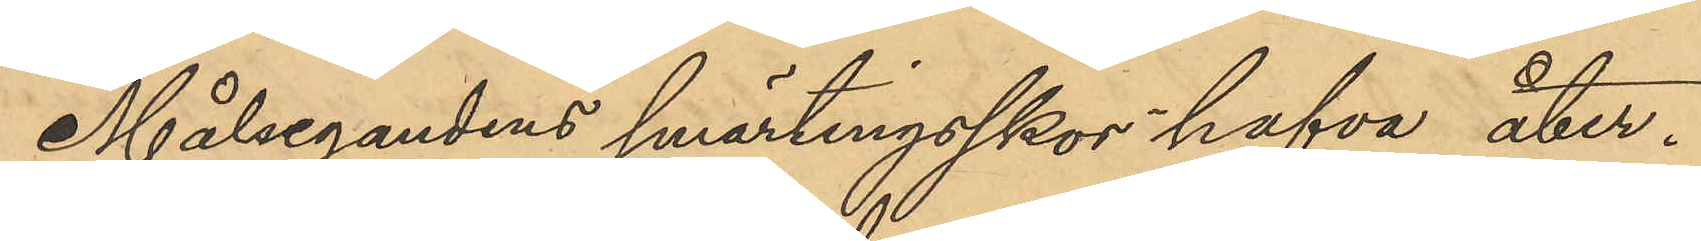Målsegandens smärtingskor hafva åter¬
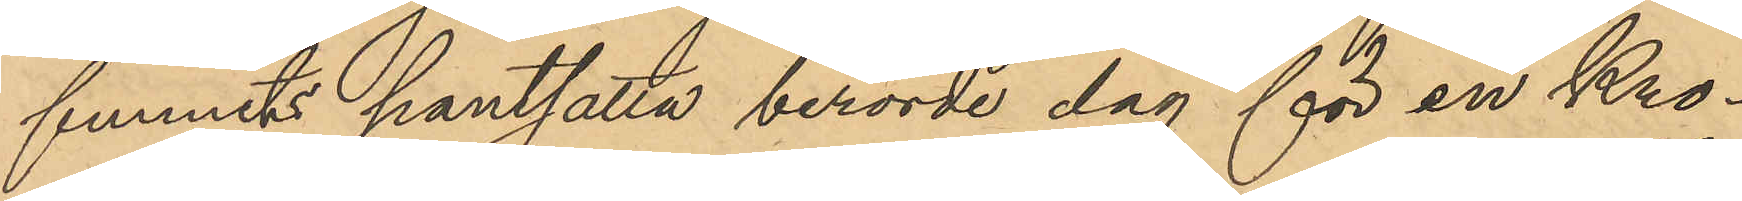funnits pantsatta berörde dag för en Kro¬
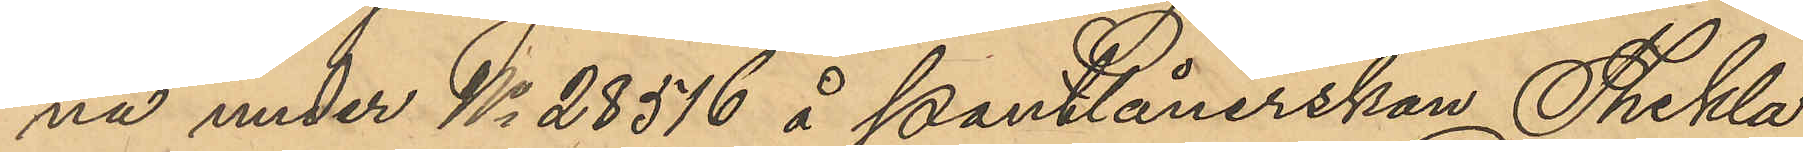na under No 28516 å Pantlånerskan Thekla
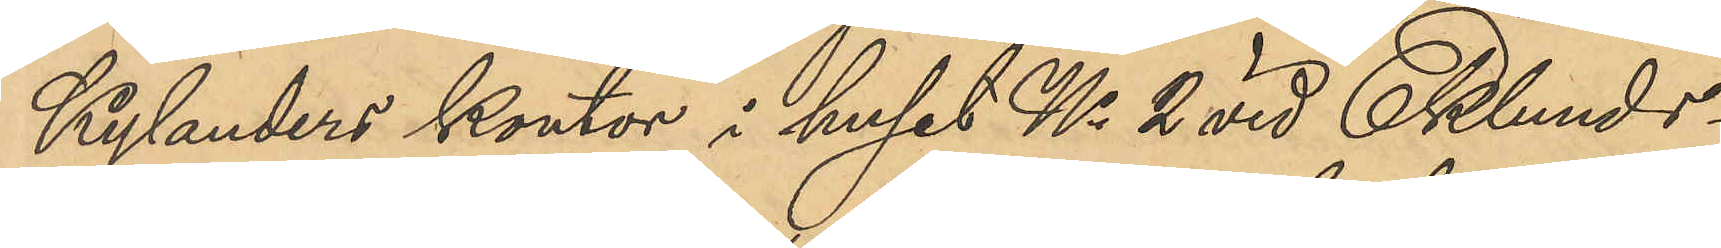Kylanders kontor i huset No 2 vid Eklunds¬
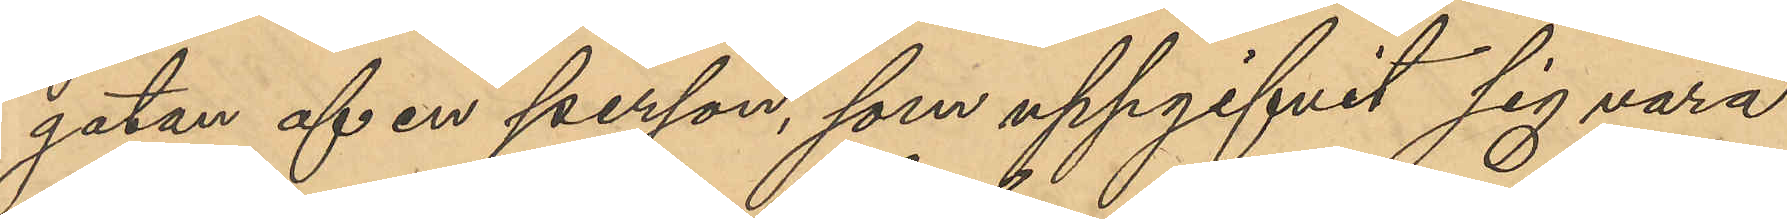gatan af en person, som uppgifit sig vara
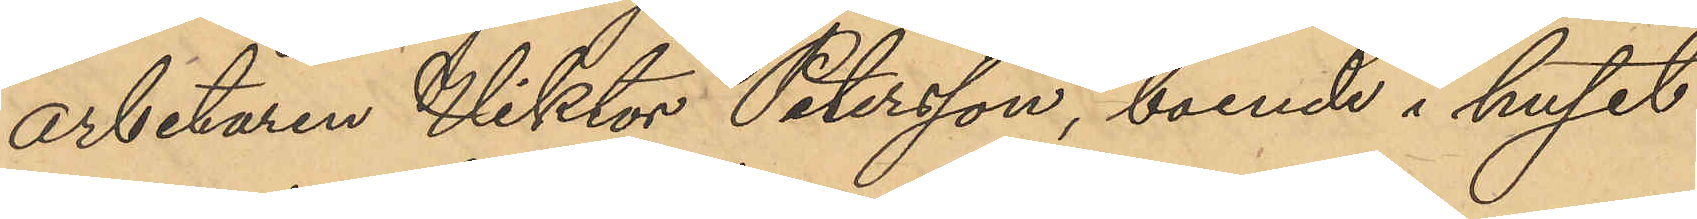arbetaren Viktor Petersson, boende i huset
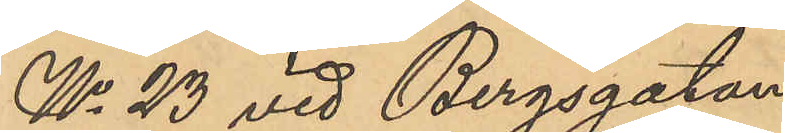No 23 vid Bergsgatan.
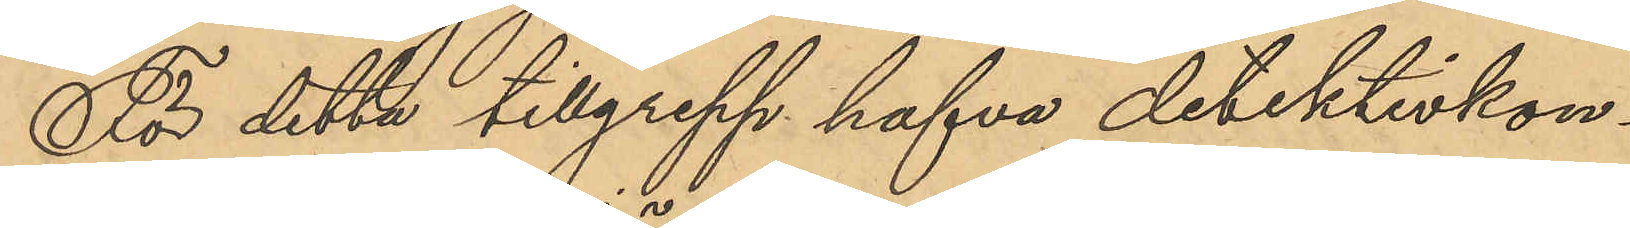För detta tillgrepp hafva detektivkon¬
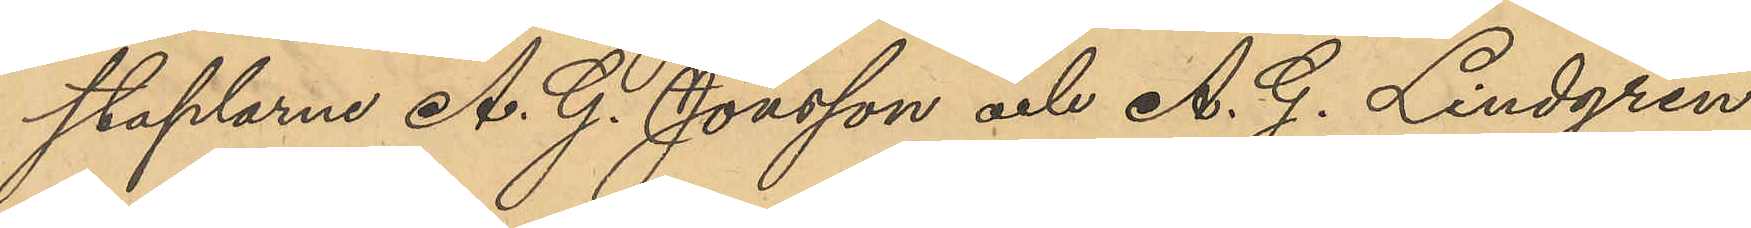staplarne A. G. Jönsson och A. G. Lindgren
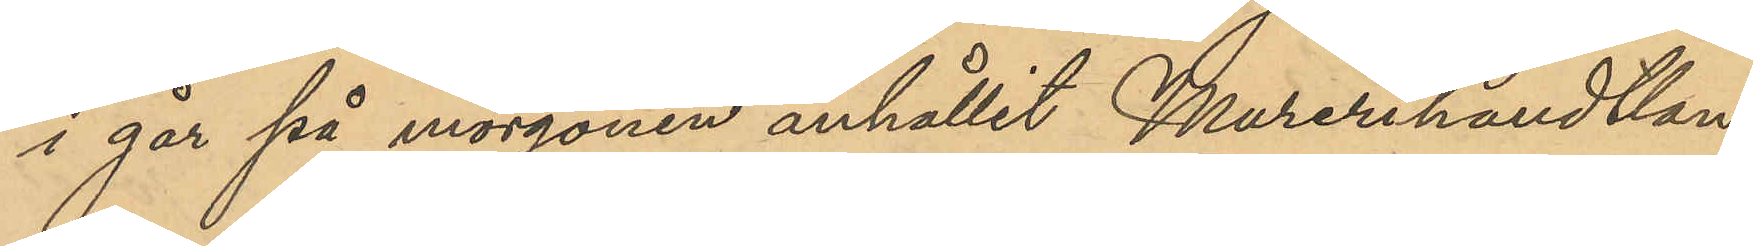i går på morgonen anhållit Murerihandtlan¬
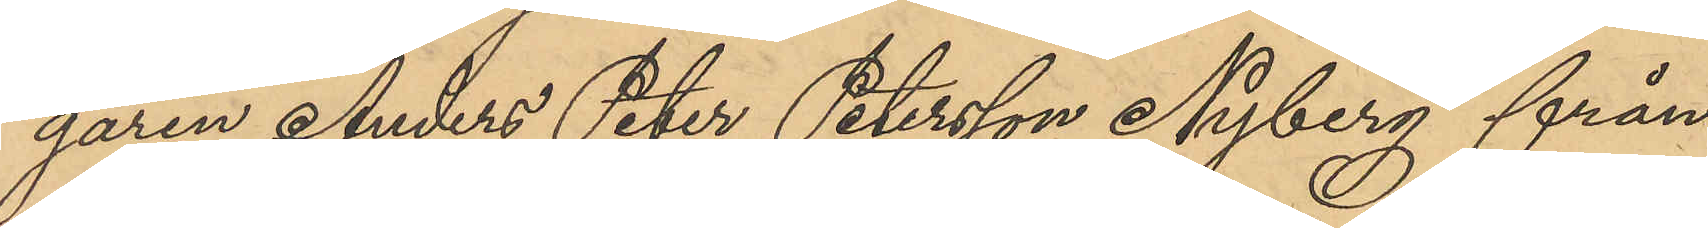garen Anders Peter Petersson Nyberg från
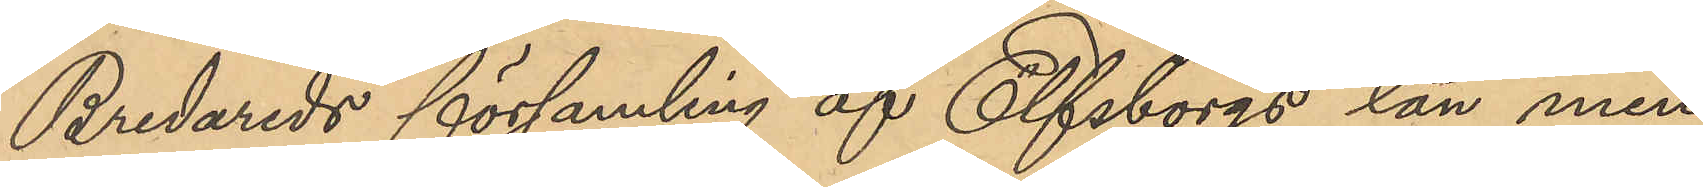Bredareds församling af Elfsborgs län men
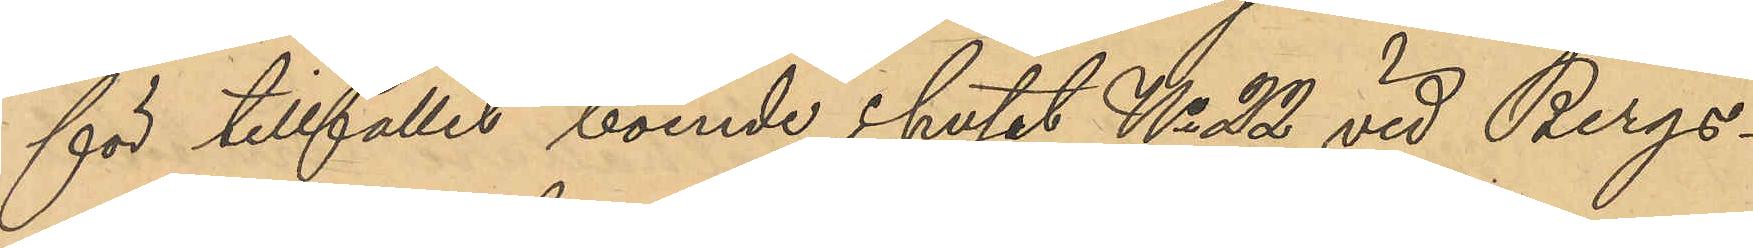för tillfället boende i huset No 22 vid Bergs¬
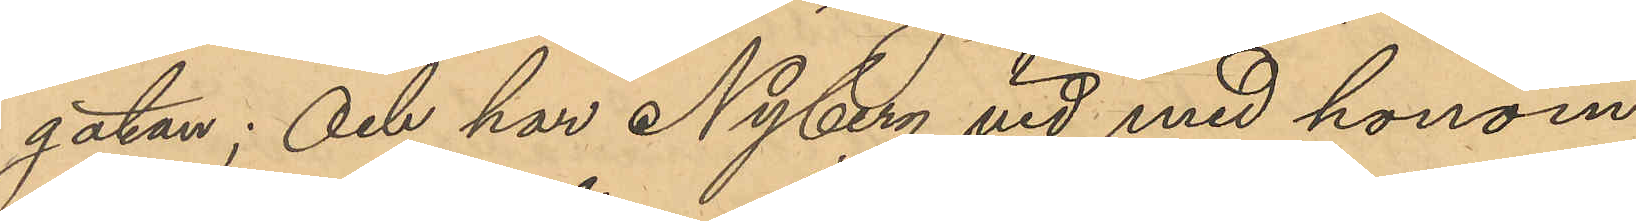gatan; och har Nyberg vid med honom
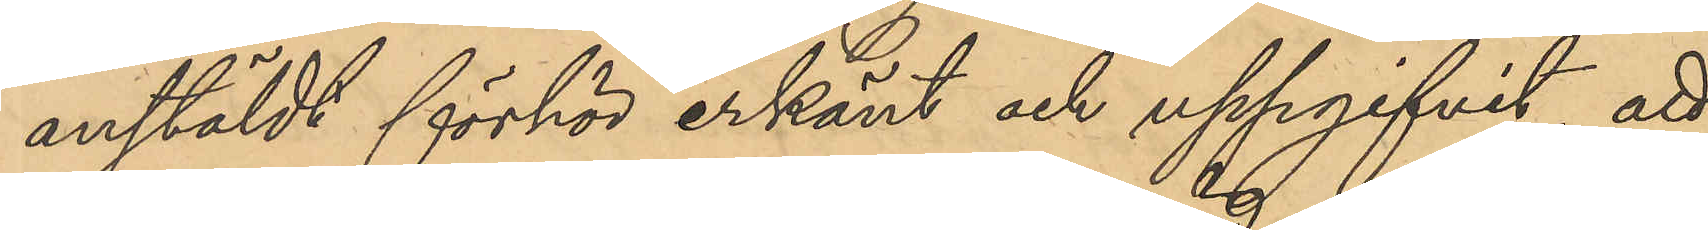anstäldt förhör erkänt och uppgifvit, att
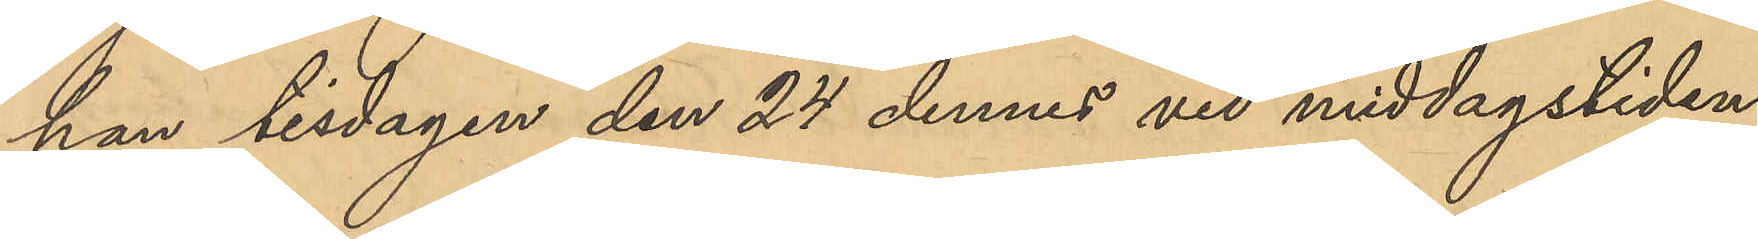han tisdagen den 24 dennes vid middagstiden,
